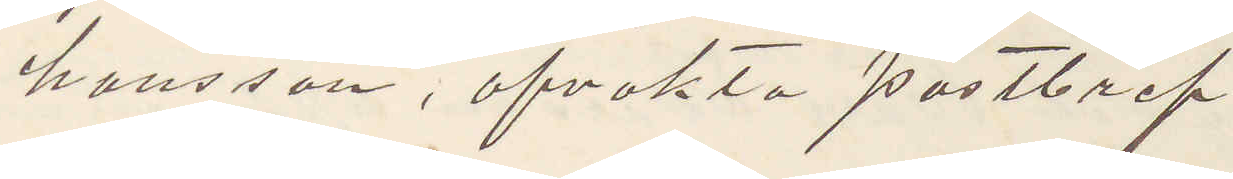hansson, afvakta postbref.
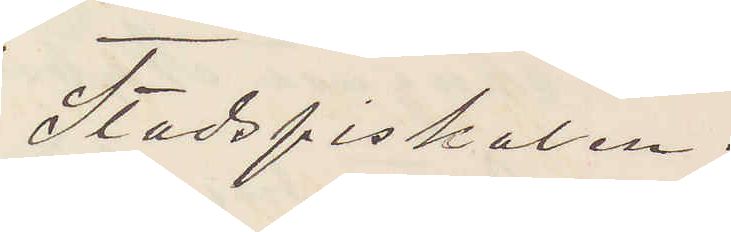Stadsfiskalen.
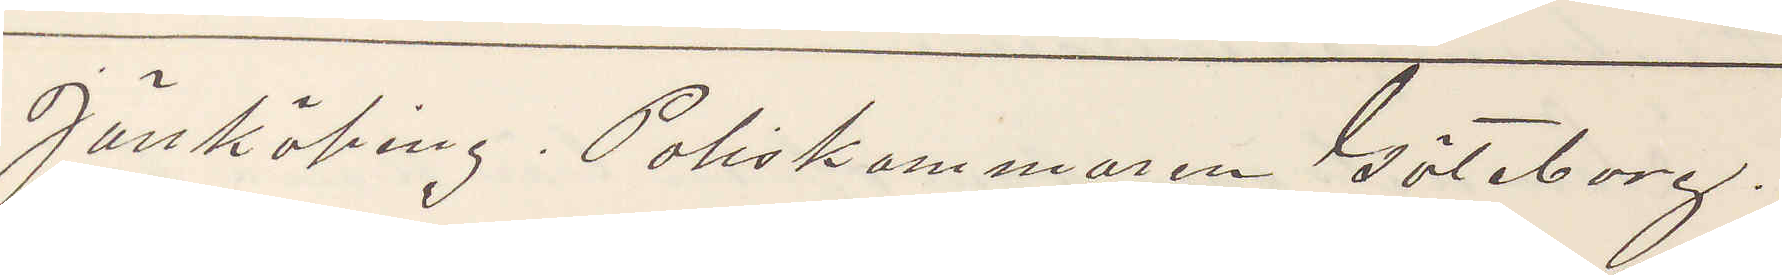Jönköping. Poliskammaren Göteborg.
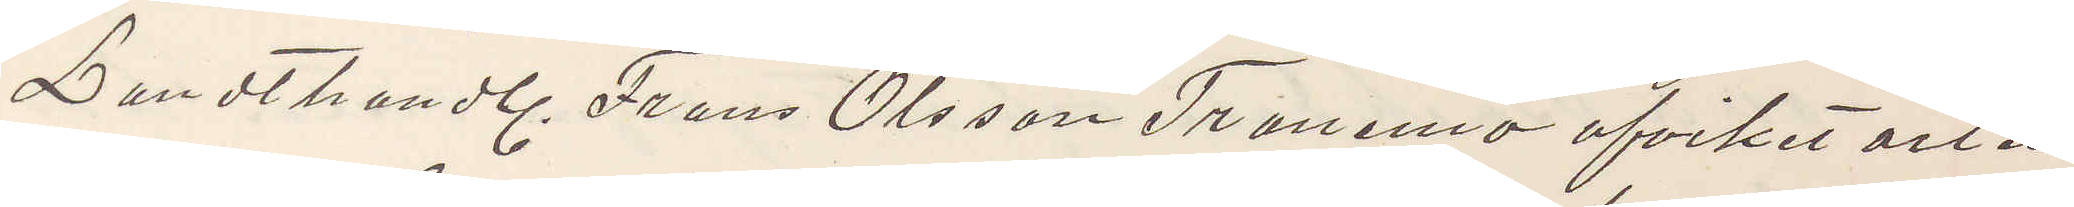Landthandl. Frans Olsson Tranemo afvikit orten
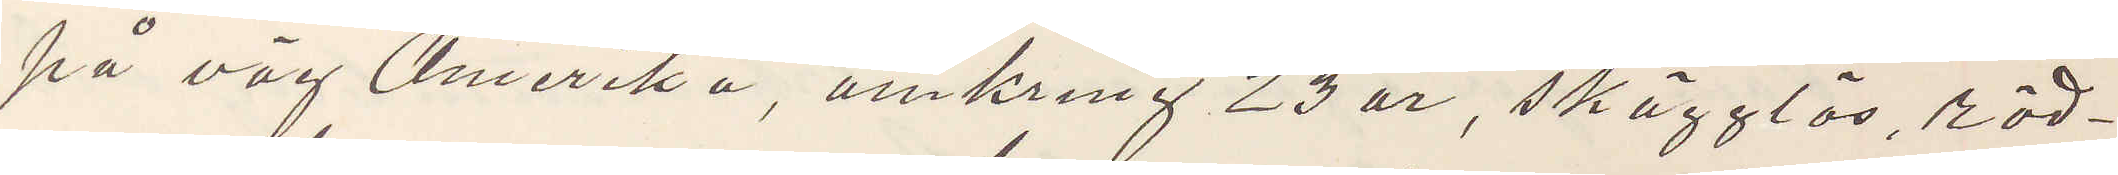på väg Amerika, omkring 23 år, skägglös, röd¬
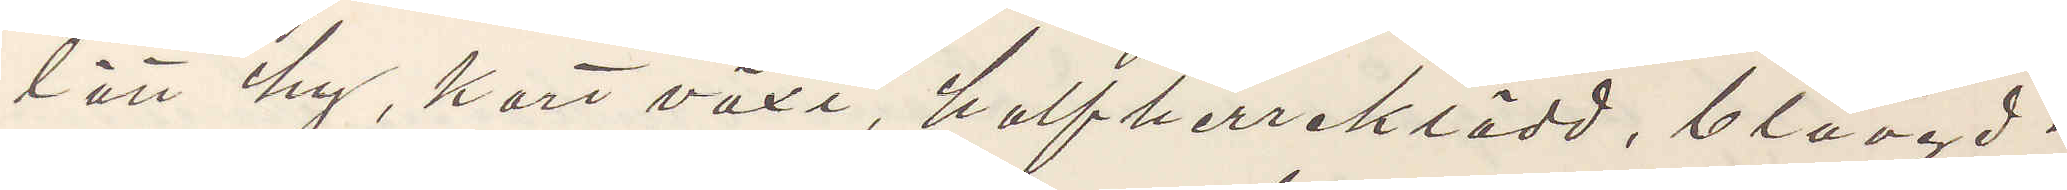lätt hy, kort växt, halfherreklädd, blåögd.
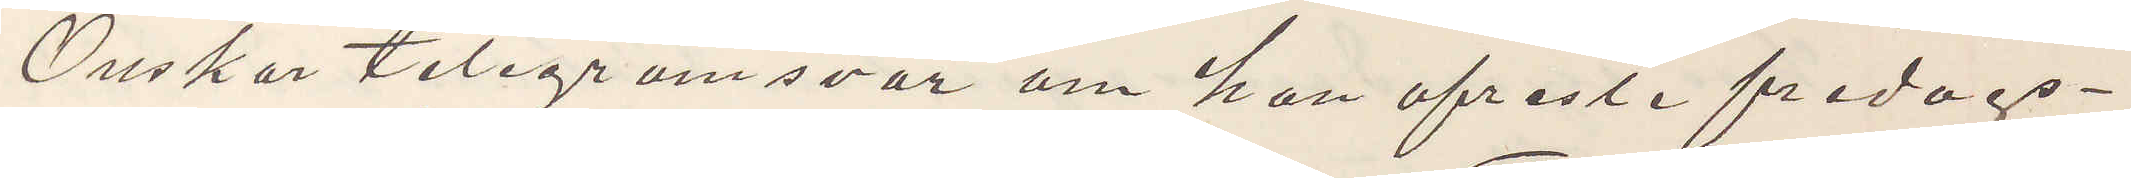Önskar telegramsvar om han afreste fredags¬
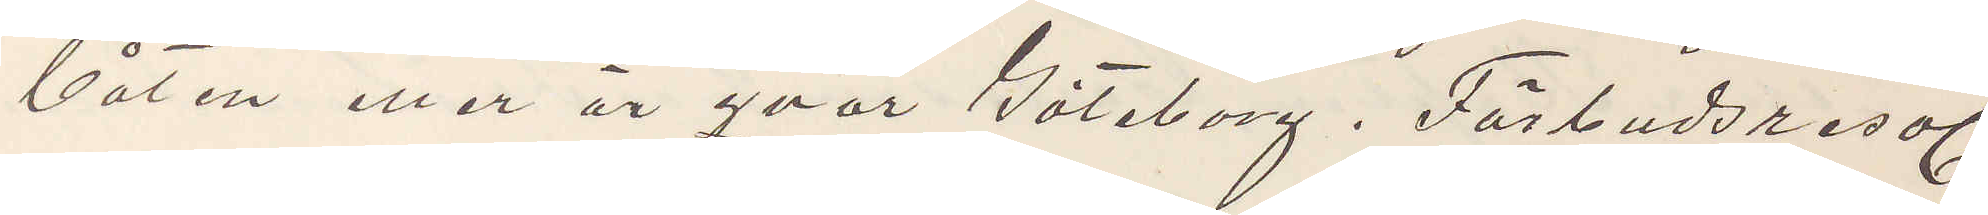båten eller är qvar Göteborg. Förbudsreso.
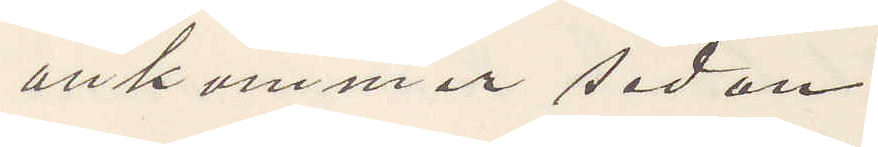ankommer sedan.
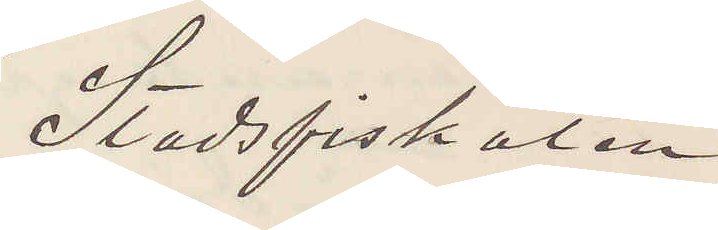Stadsfiskalen
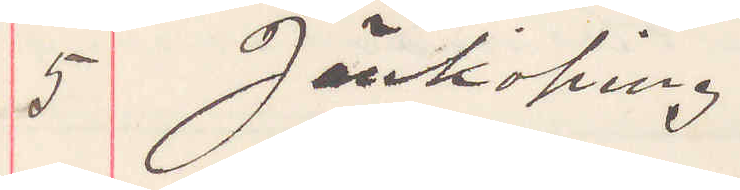5 Jönköping.
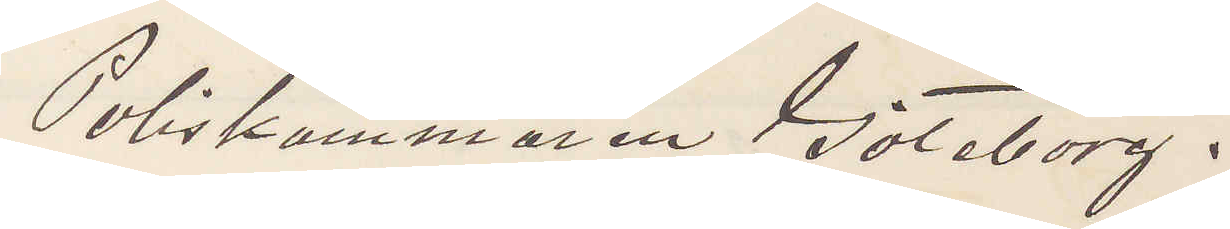Poliskammaren Göteborg.
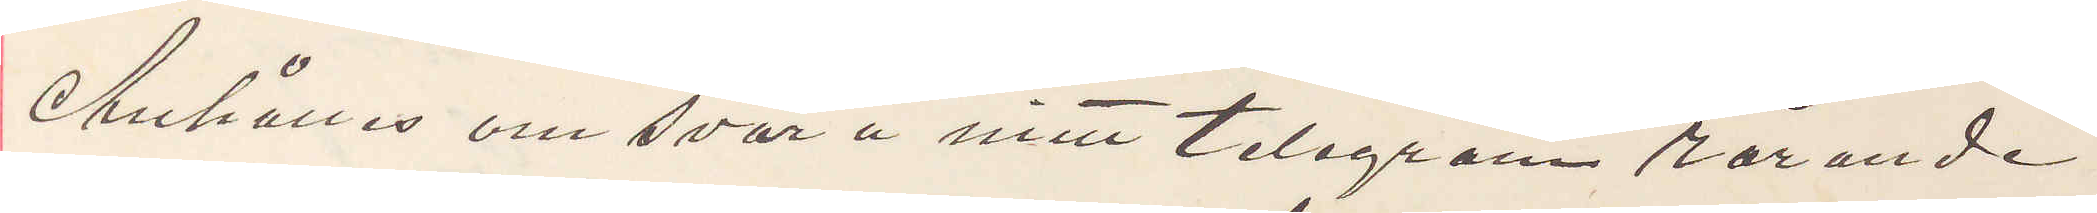Anhålles om svar å mitt telegram rörande
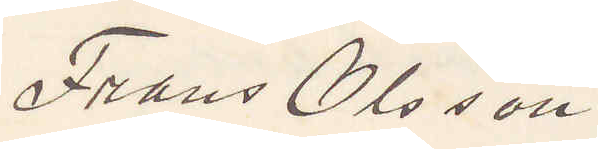Frans Olsson.
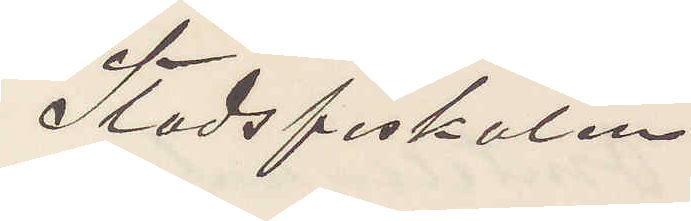Stadsfiskalen
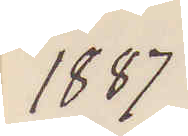1887
